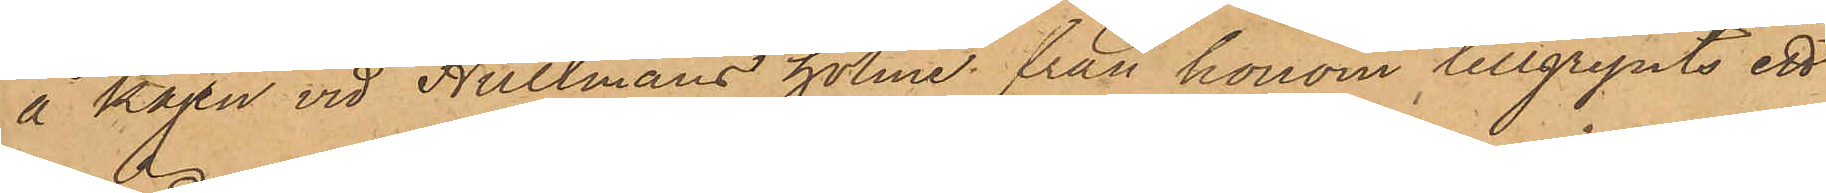å kajen vid Hultmans holme från honom tillgripits ett
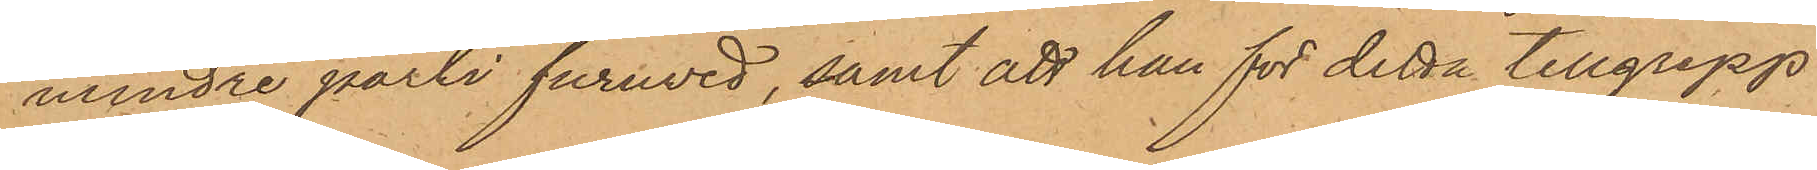mindre parti furuved, samt att han för detta tillgrepp
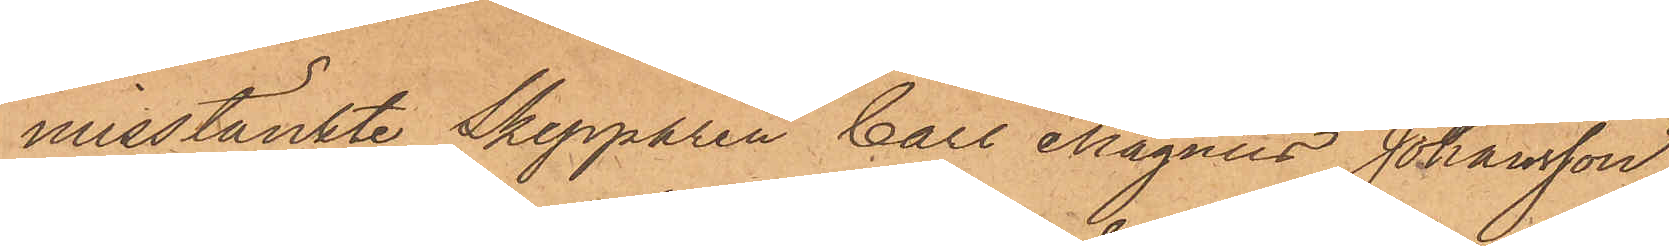misstänkte Skepparen Carl Magnus Johansson
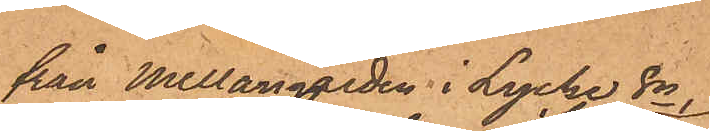från Mellangården i Lycke Sn
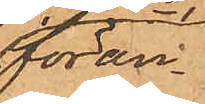föran¬
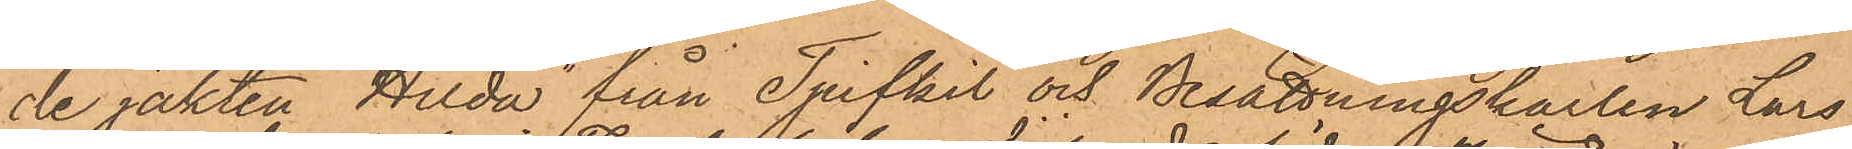de jakten Hilda" från Tjufkil och Besättningskarlen Lars
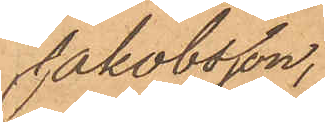Jakobsson,
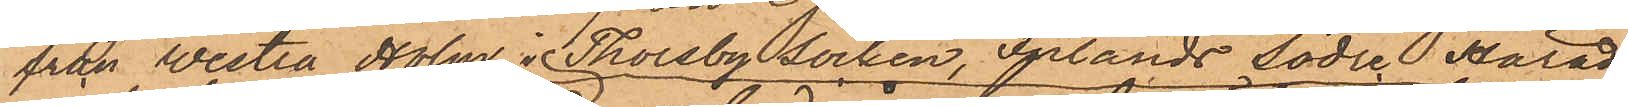från Westra Holm i Thorsby socken, Inlands Södra Härad
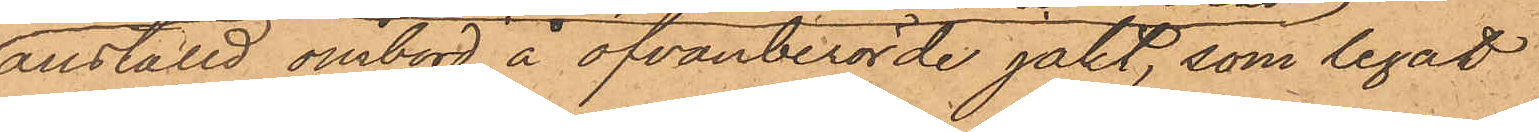anställd ombord å ofvanberörde jakt, som legat
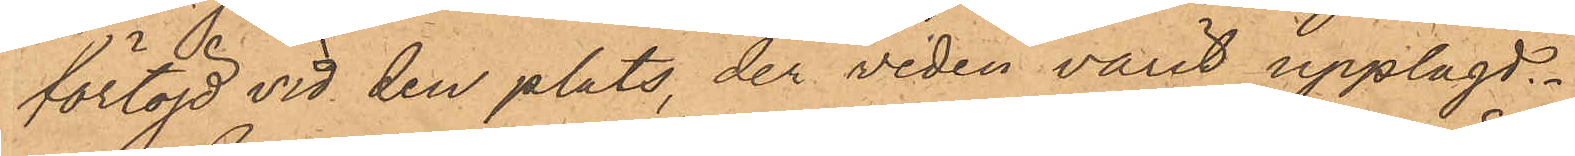förtöjd vid den plats, der veden varit upplagd.
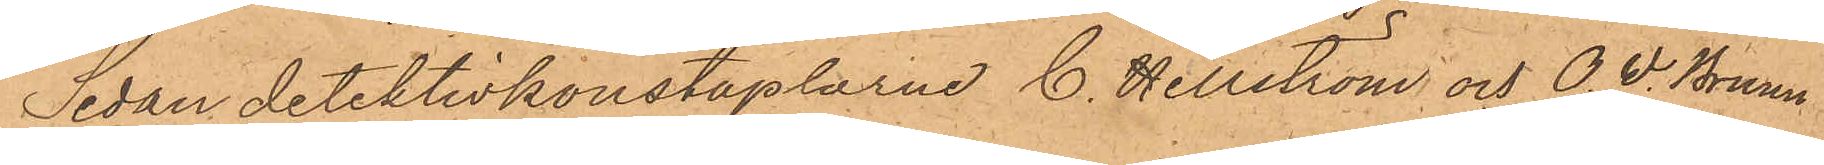Sedan detektivkonstaplarne C. Hellström och O. W. Bruun
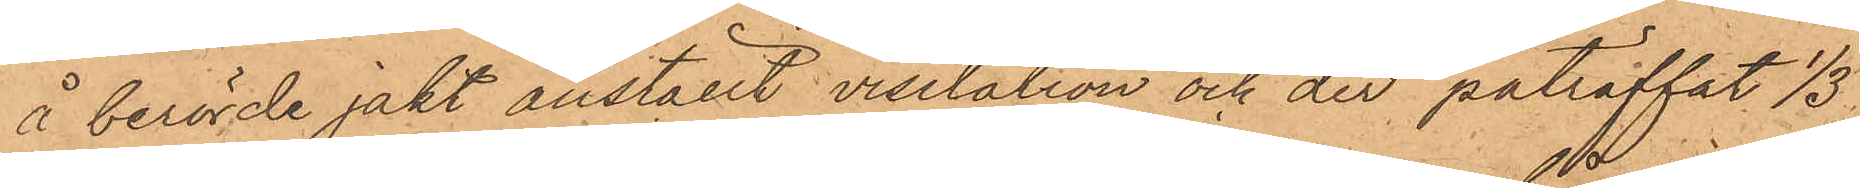å berörde jakt anställt visitation och der påträffat 1/3
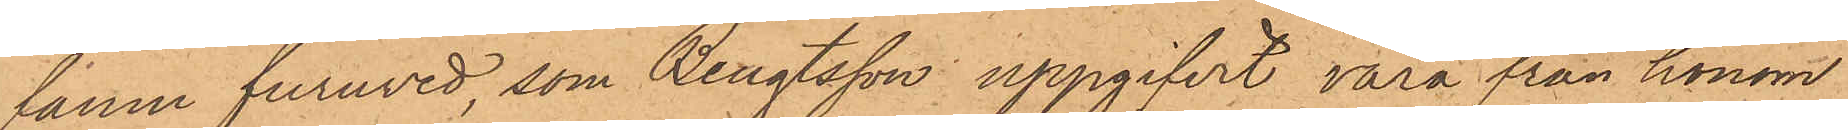famn furuved, som Bengtsson uppgifvit vara från honom
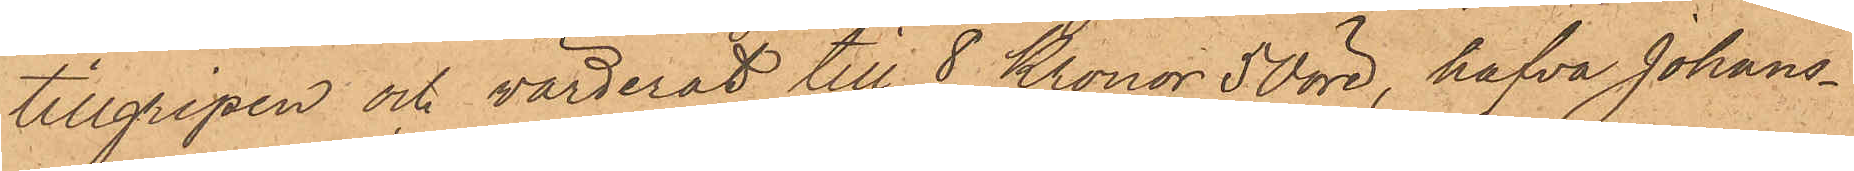tillgripen och värderat till 8 Kronor 50 öre, hafva Johans¬
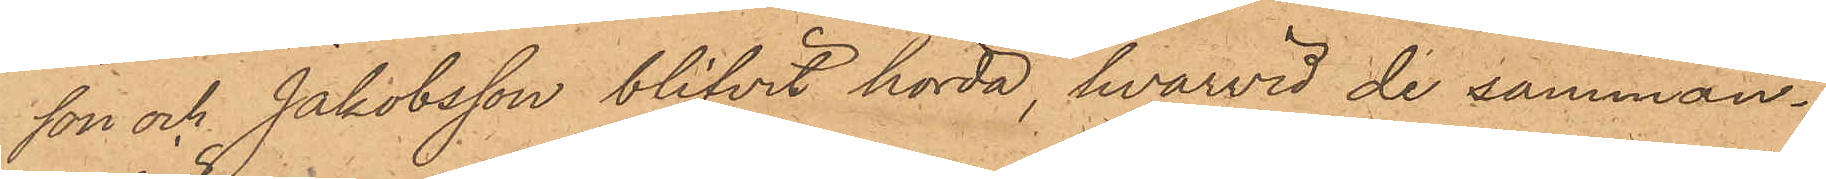son och Jakobsson blifvit hörda, hvarvid de samman¬
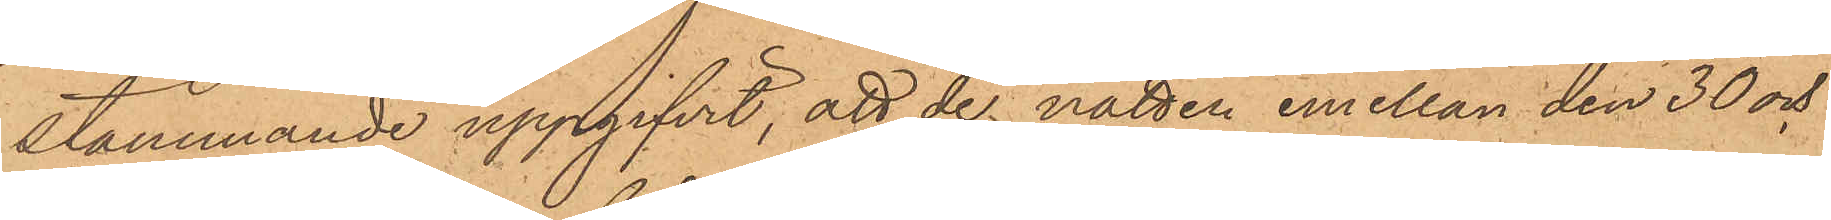stämmande uppgifvit, att de natten emellan den 30 och
